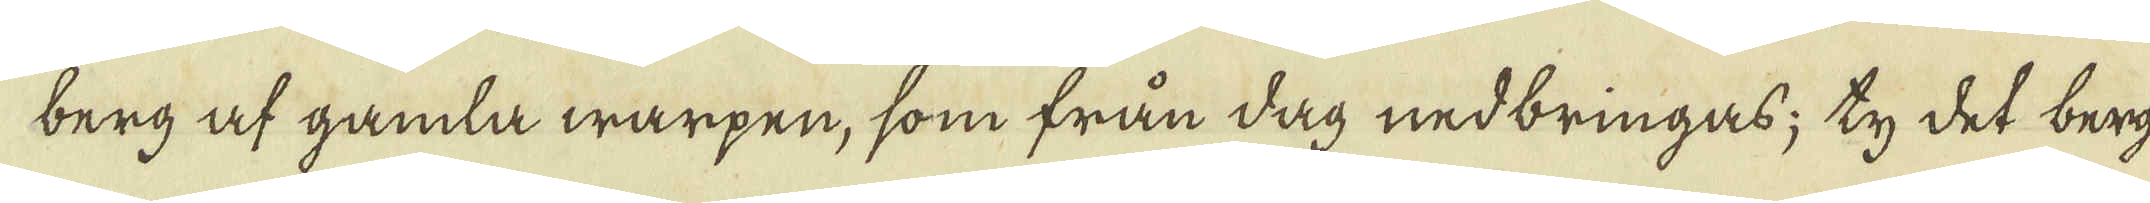berg af gamla warpen, som från dag nedbringas; ty det berg-
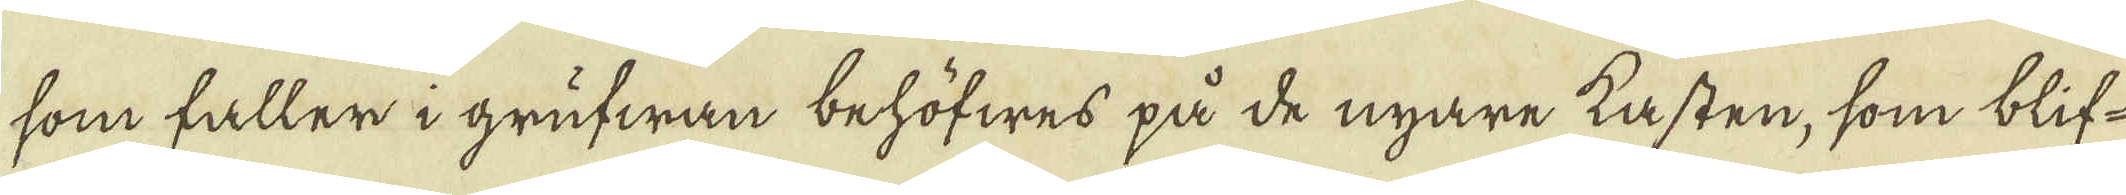som faller i grufwan behöfwes på de nyare kasten, som blif-
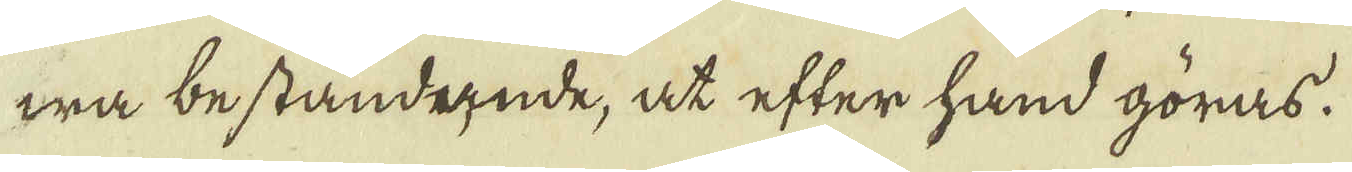wa beståndende, at efter hand göras.
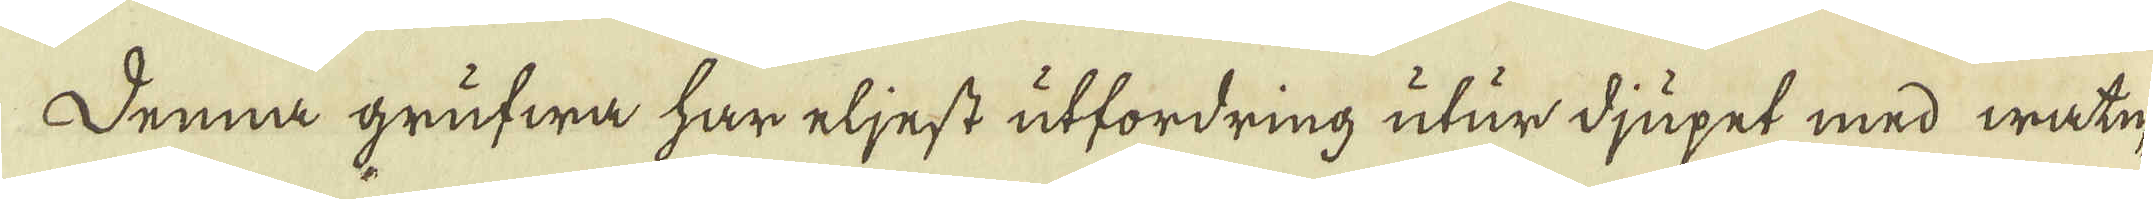Denna grufwa har eljest utfordring utur djupet med watn-
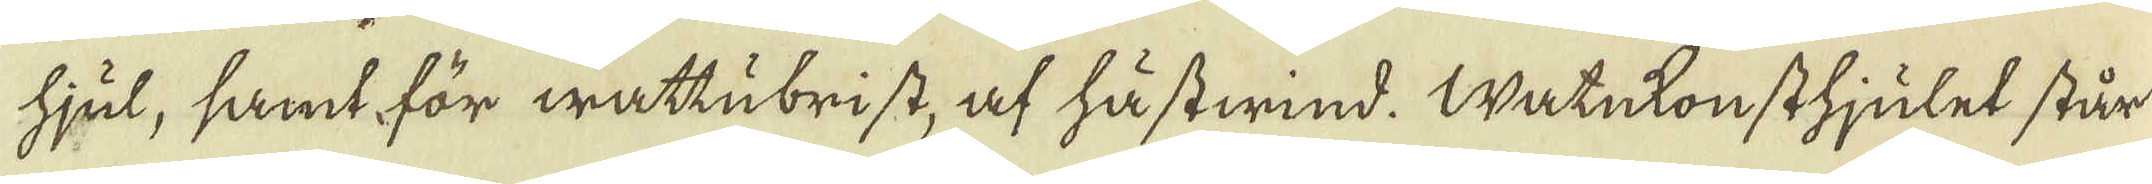hjul, samt för wattubrist, af hästwind. Watnkonsthjulet står
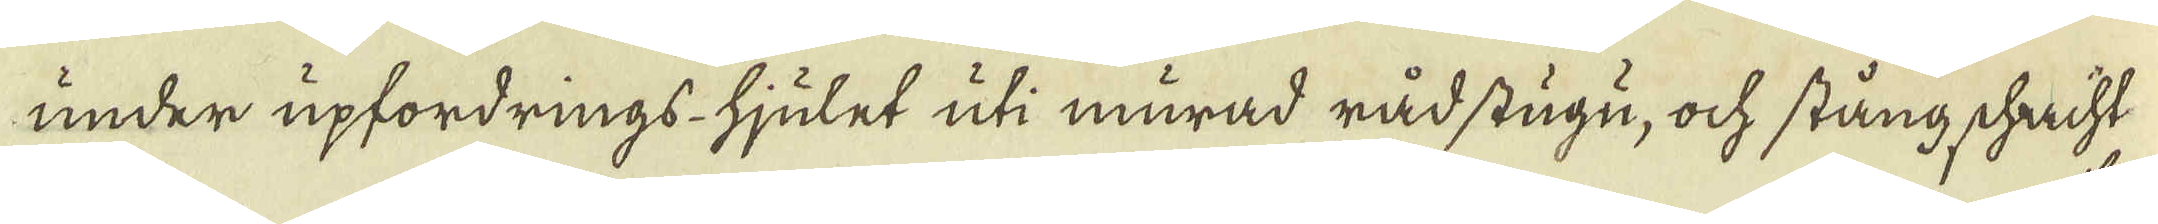under upfordrings-hjulet uti murad råd stugu, ock stång schacht
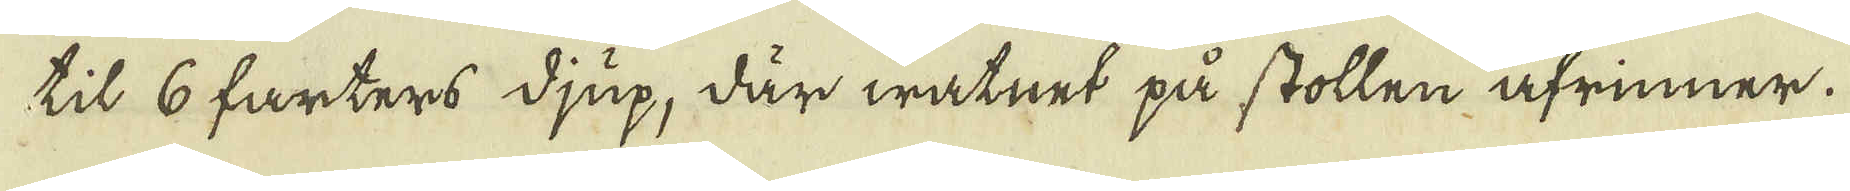til 6 farters djup, där watnet på stollen afrinner.
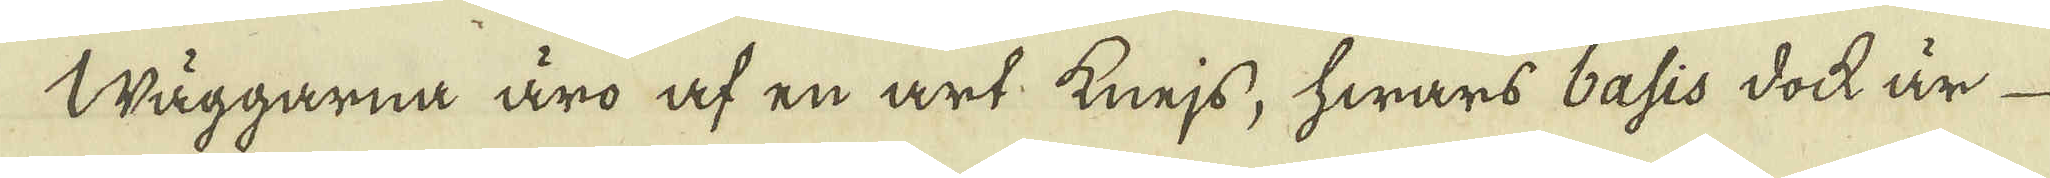Wäggarna äro af en art knejs, hwars basis doch är
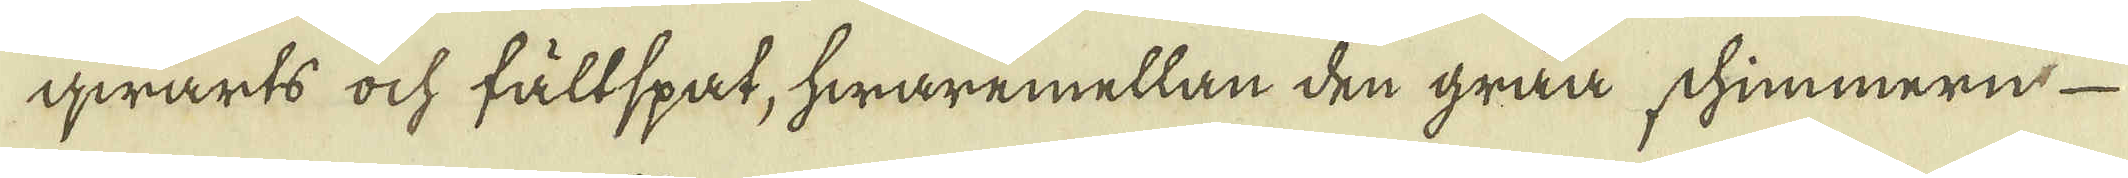qwarts ock fältspat, hwaremellan den gråa schimmernt
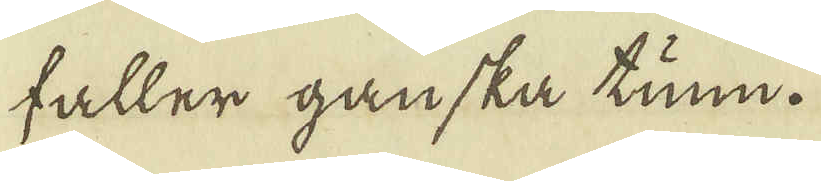faller ganska tunn.
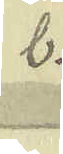b.
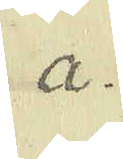a.
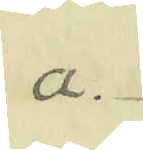a.
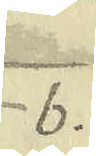b.
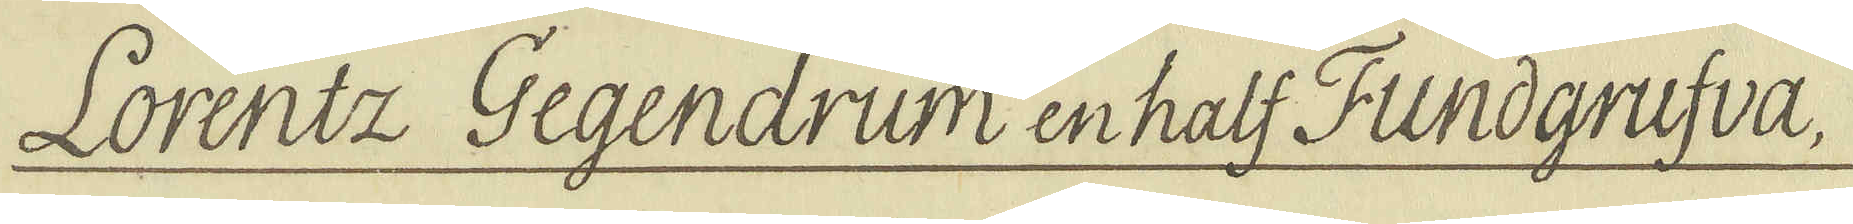Lorentz Gegendrum en half Fundgrufva,
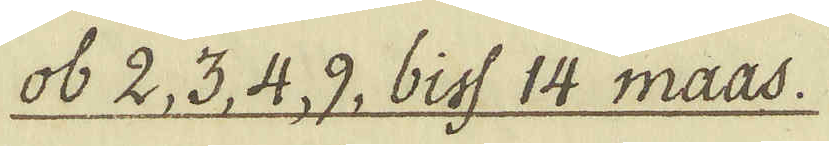ob 2, 3, 4 9, biss 14 maas.
